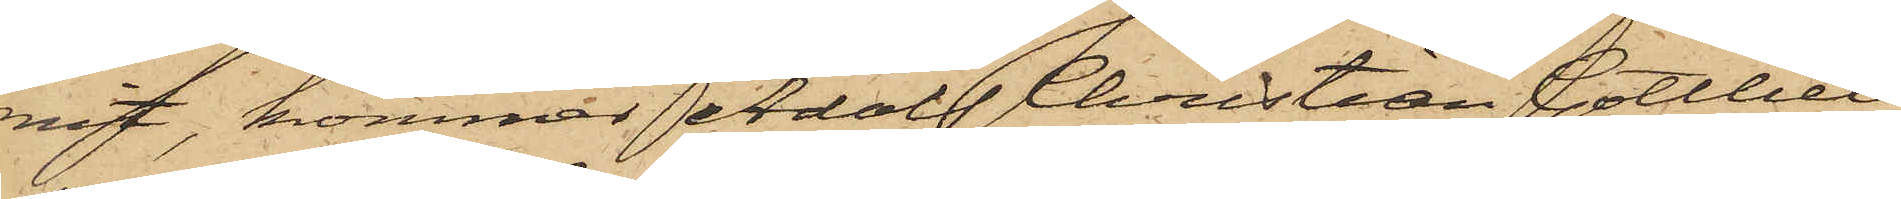mit, kommer Adolf Christian Gottlieb
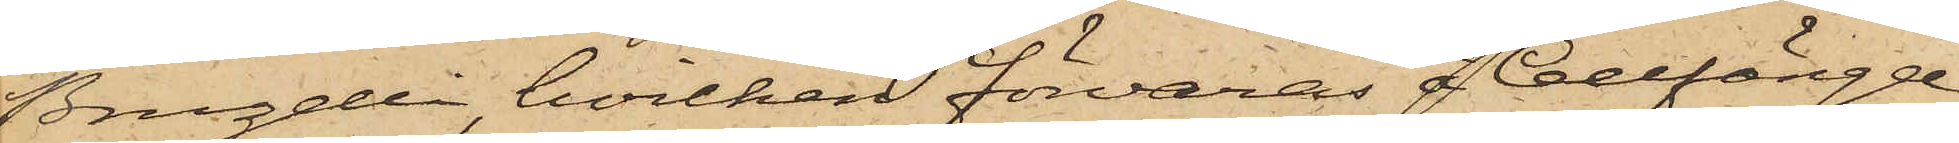Bruzelli, hvilken förvaras å Cellfängel¬
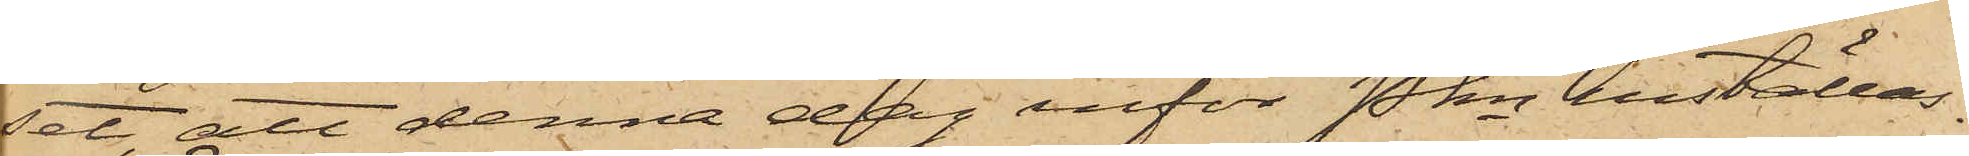set denna dag inför Pkn inställas.
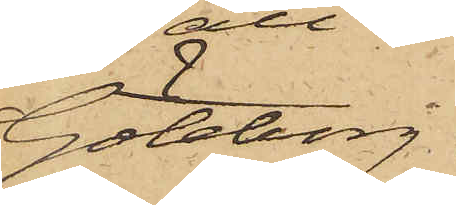Göteborg
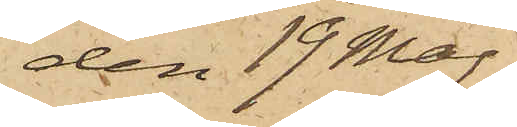den 19 Maj
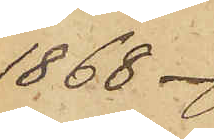1868.
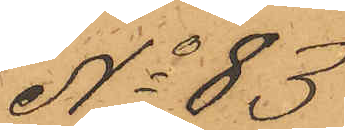No 83
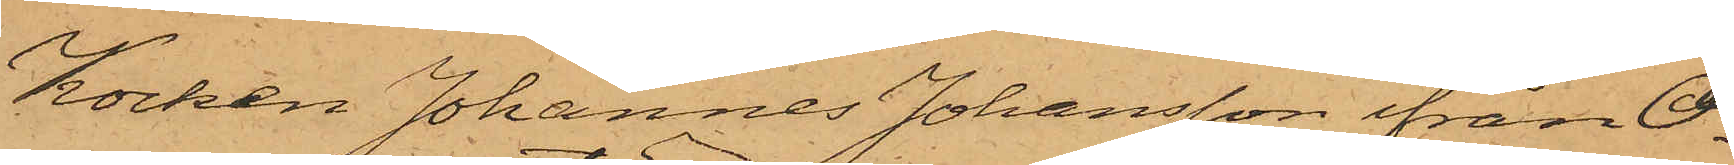Kocken Johannes Johansson ifrån O¬
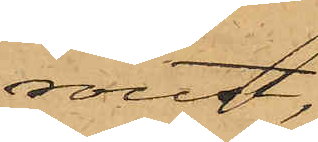roust,
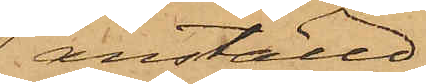anställd
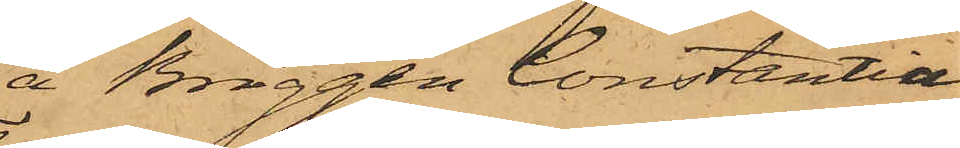å Briggen Constantia,
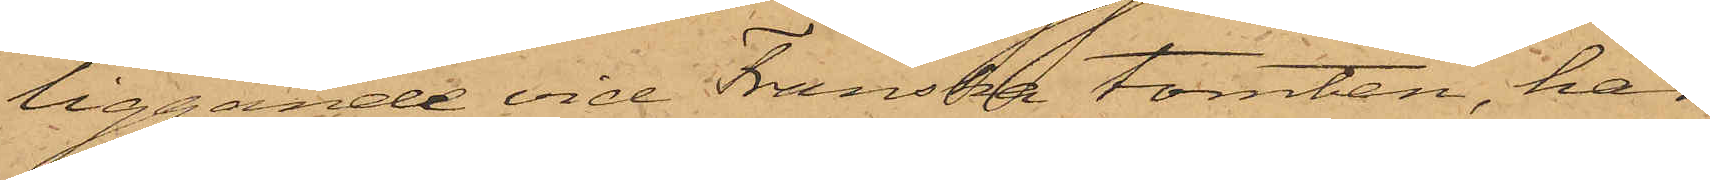liggande vid Franska tomten, har
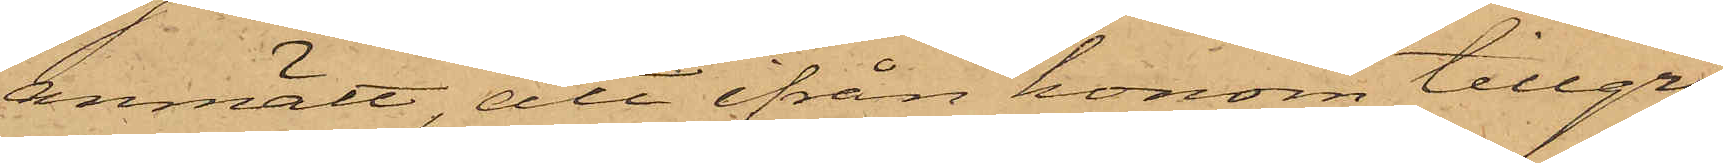anmält, att ifrån honom tillgri¬
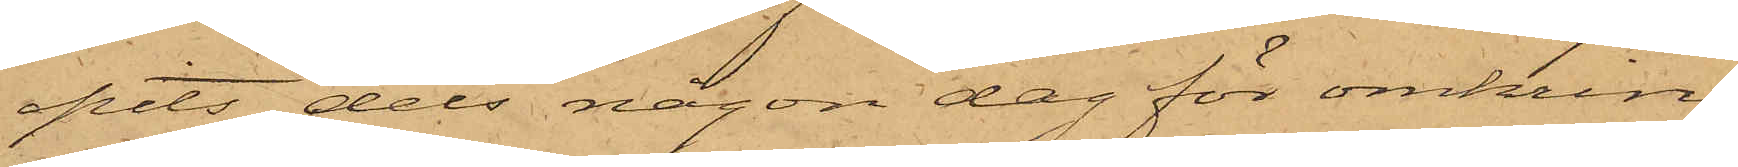pits dels någon dag för omkring
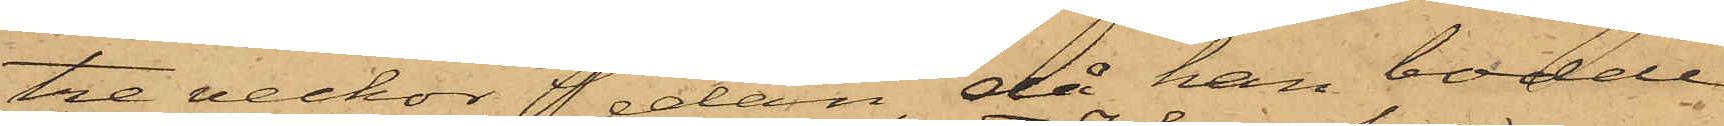tre veckor sedan, då han bodde
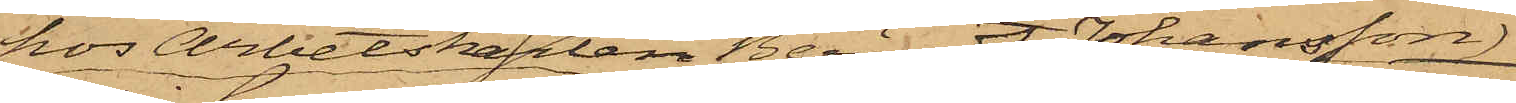hos Arbetskarlen Berndt Johansson
